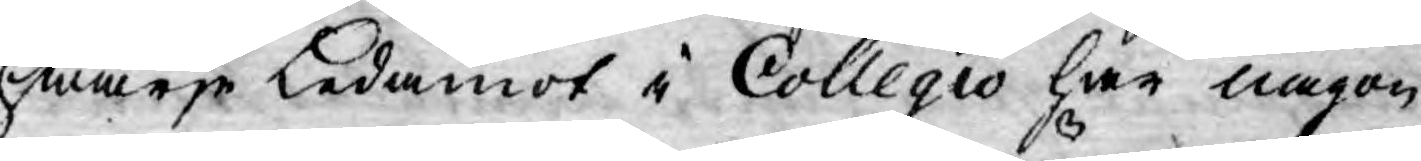hwarje Ledamot i Collegio har någon
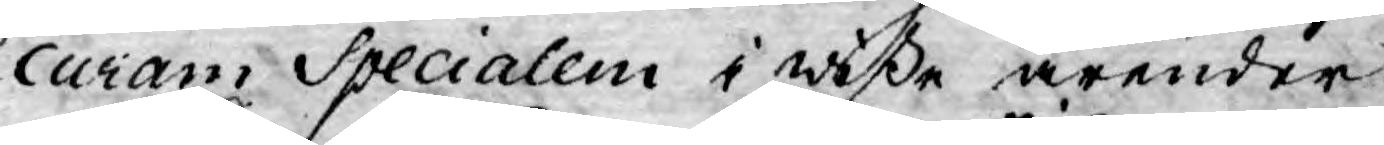curam Specialem i wiße ärender;
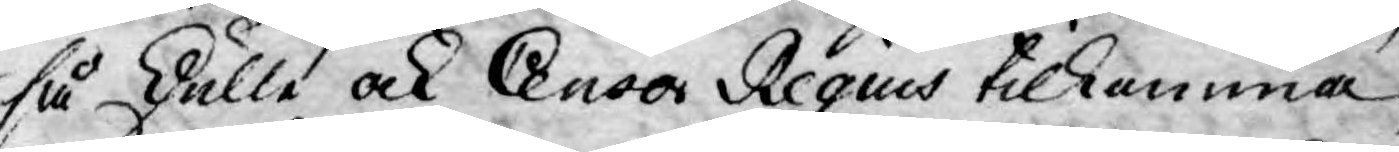så skulle ock Censor Regius tilkomma,
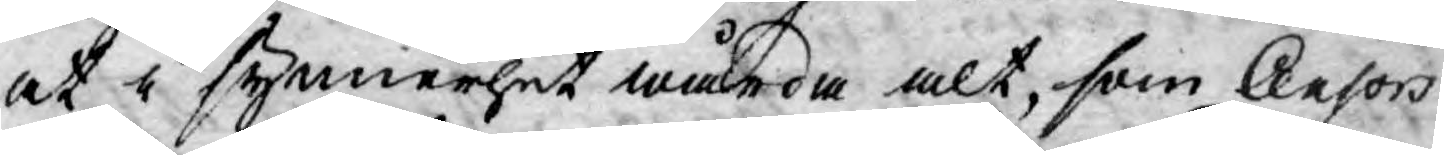at i synnerhet wårda alt, som Censors
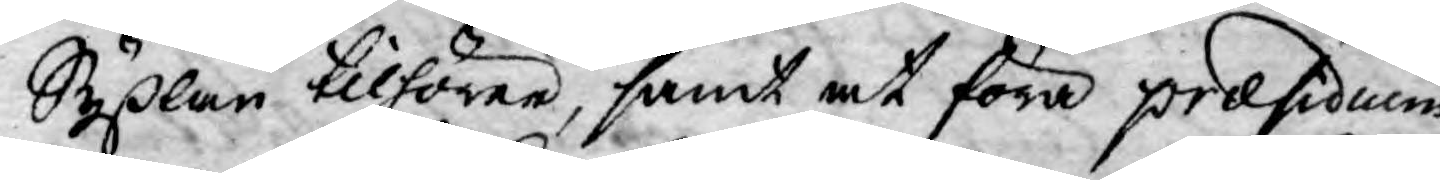Syßlan tilhörer, samt at föra præsidium
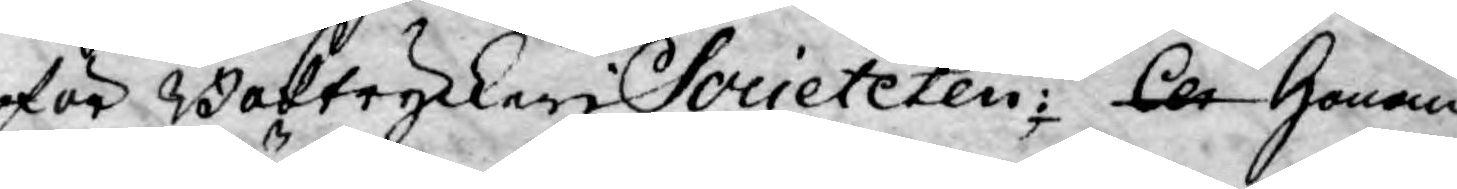för Boktryckeri Societeten; Cen Honom
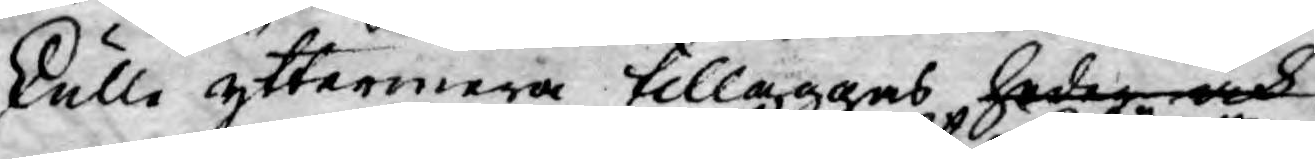skulle yttermera tilläggas heder och
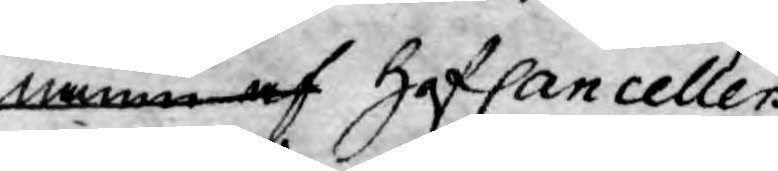namn af HofCancellers
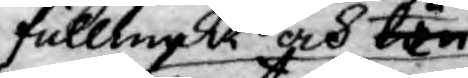fulllmakt och lön
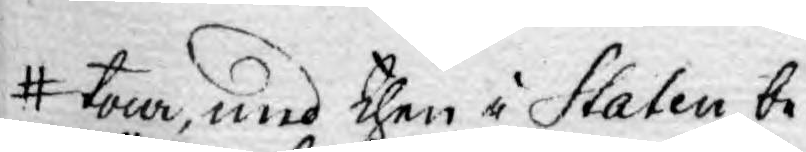tour, med then i Staten be¬
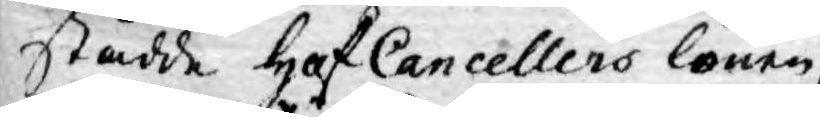stådde HofCancellers lönen,
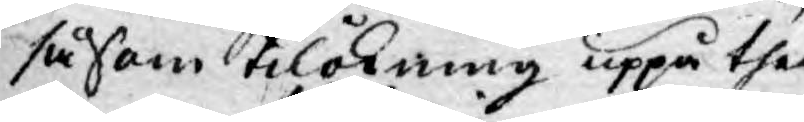såsom tilökning uppå the
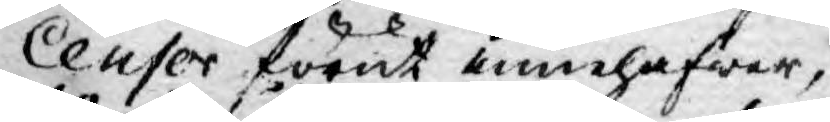Censor förut innehafwer,
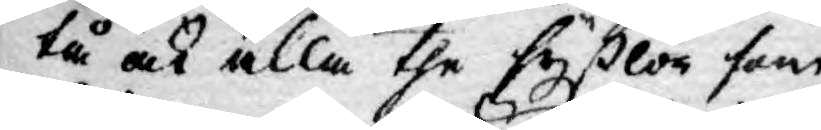tå ock alla the syßlor som
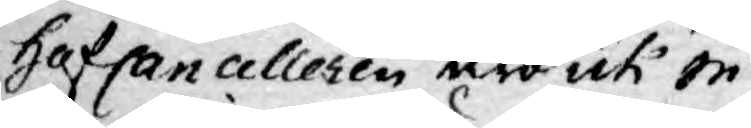HofCancelleren äro uti in¬
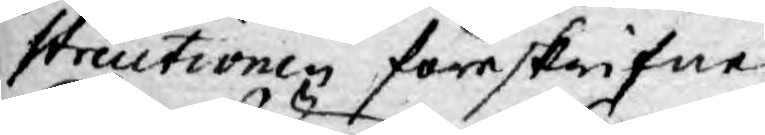structionen föreskrifne,
